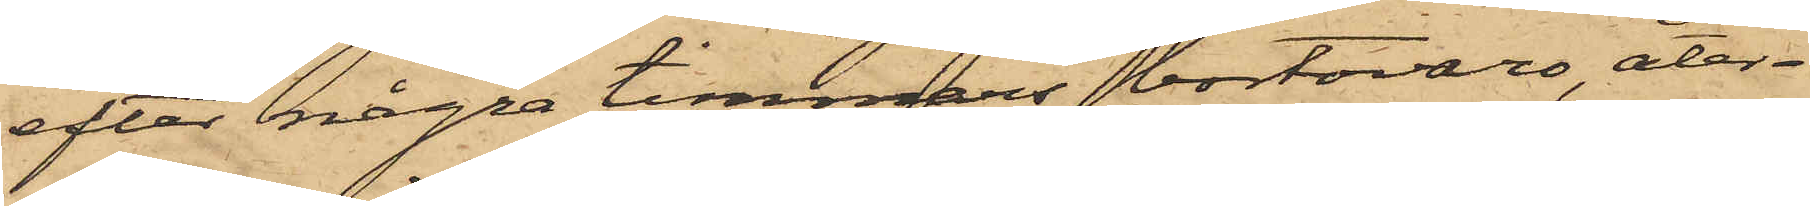efter några timmars bortovaro, åter¬
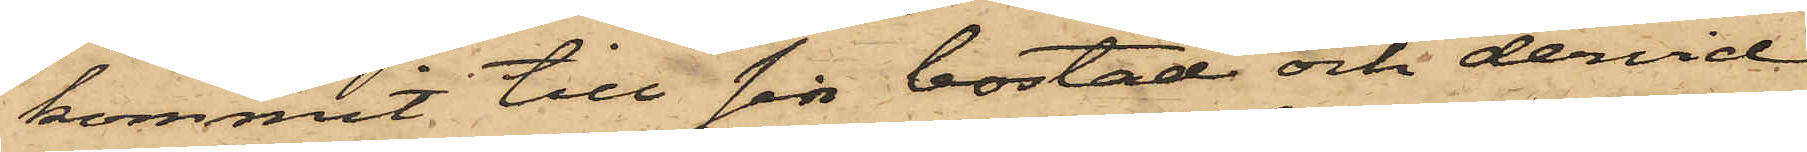kommit till sin bostad och dervid
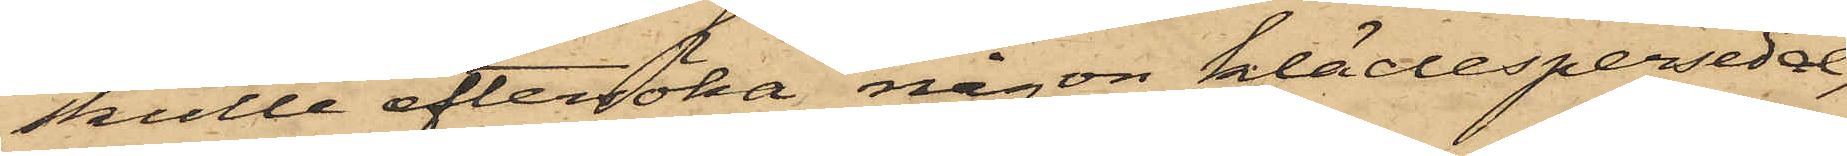skulle eftersöka någon klädespersedel,
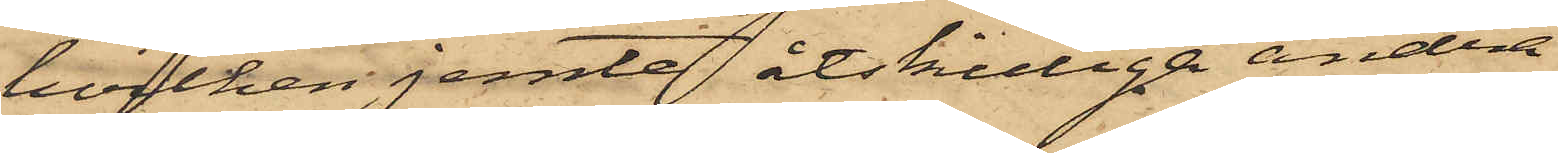hvilken jemte åtskilliga andra
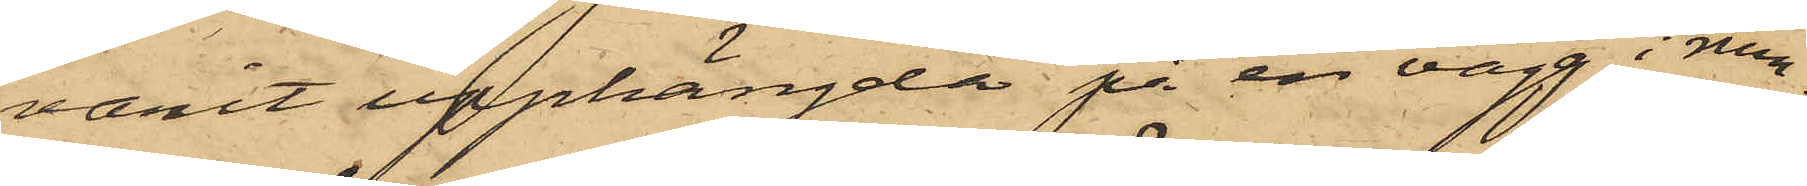varit upphängda på en vägg i rum¬
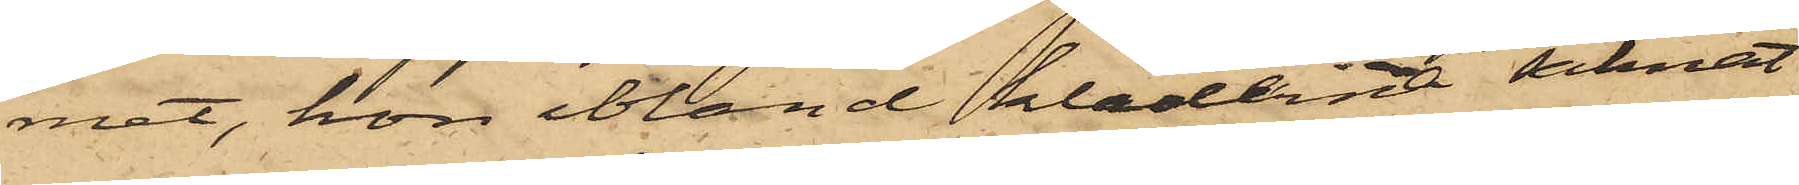met, hon bland kläderna saknat
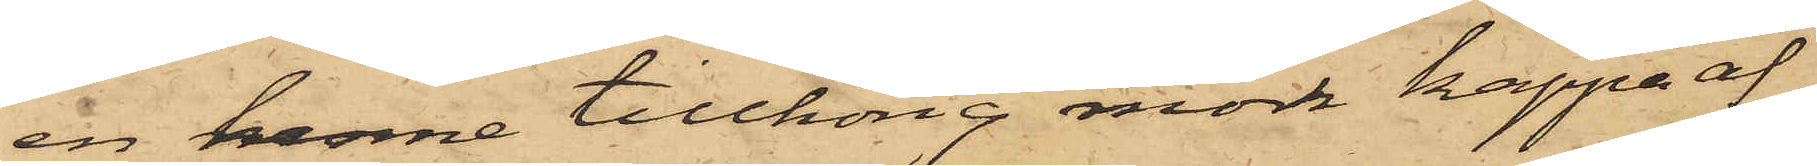en henne tillhörig mörk kappa af
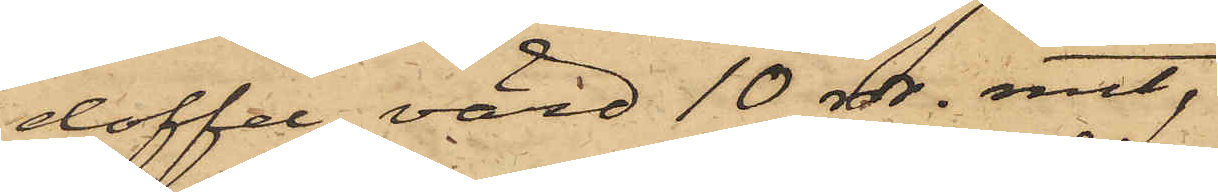doffel, värd 10 rdr. rmt,
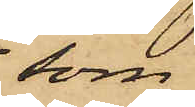som
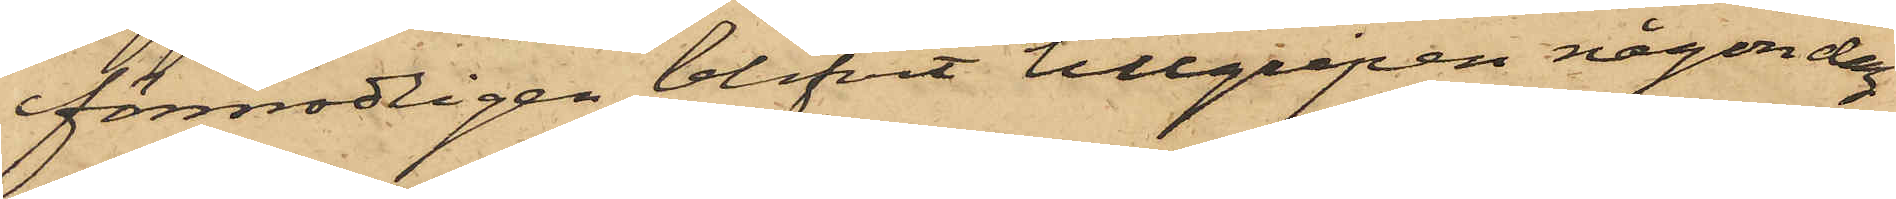förmodligen blifvit tillgripen någon dag
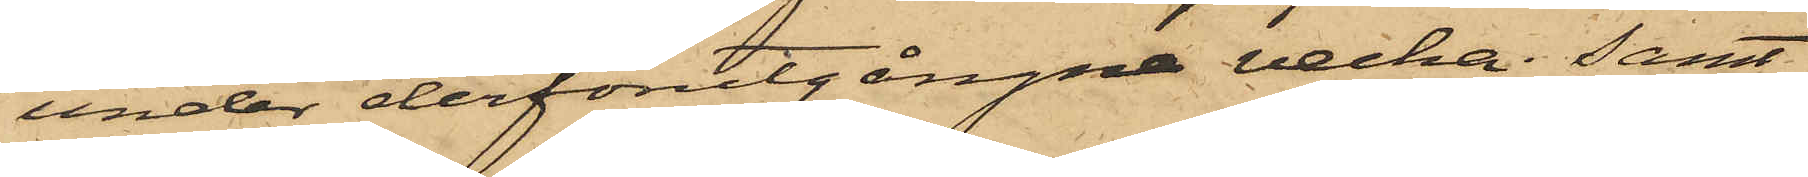under derförutgångne vecka; samt
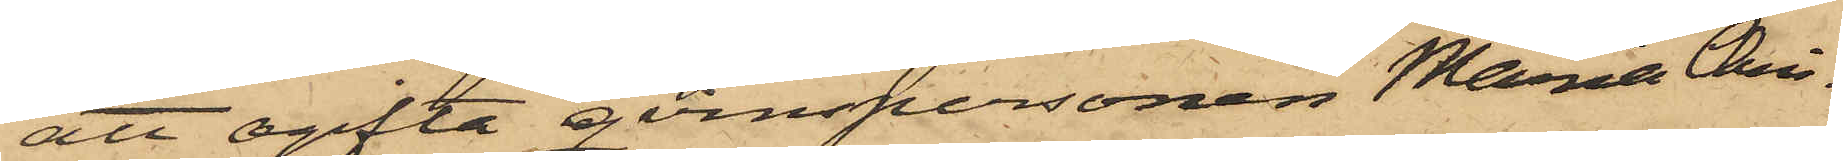att ogifta qvinspersonen Maria Chri¬
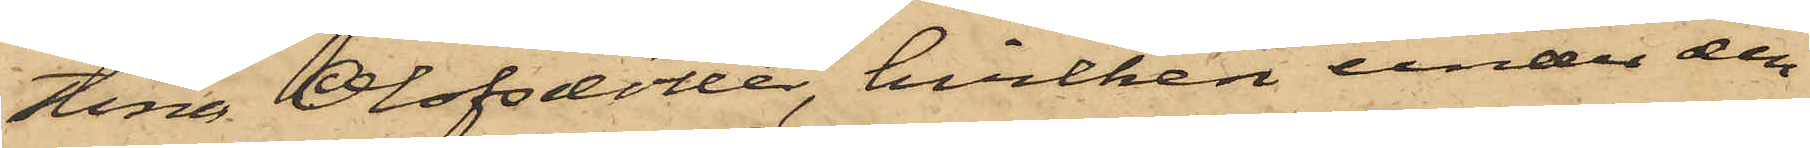tina Olofsdotter, hvilken under den
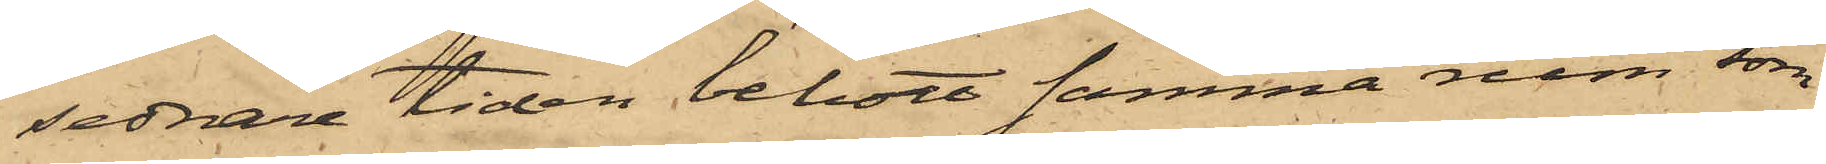sednare tiden bebott samma rum som
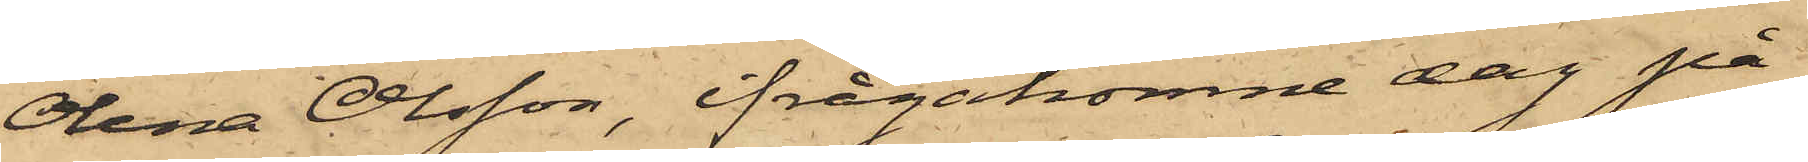Olena Olsson, ifrågakomne dag på
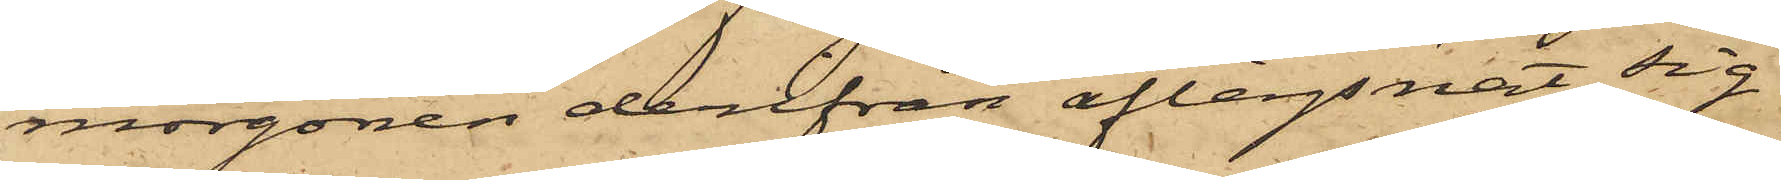morgonen derifrån aflägsnat sig
